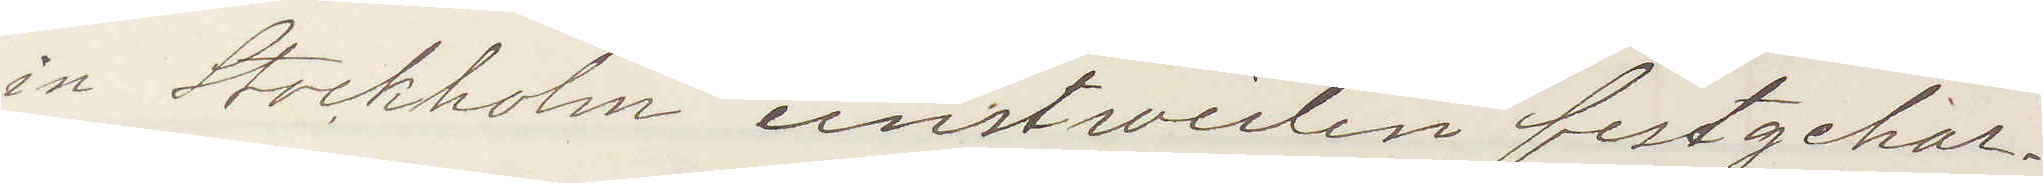in Stockholm einstweilen festgehal¬
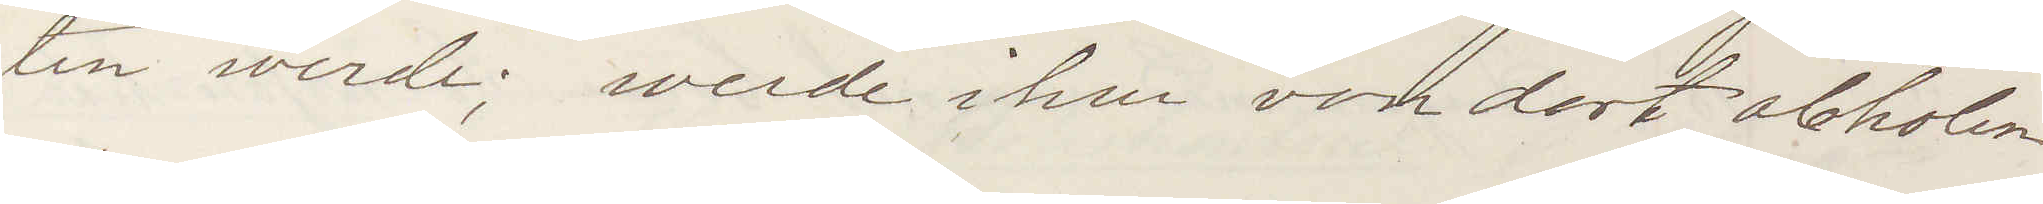ten werde werde ihn von dort abholen
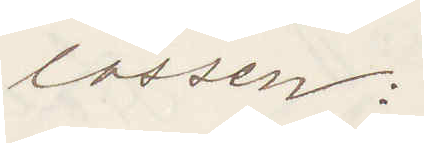lassen:
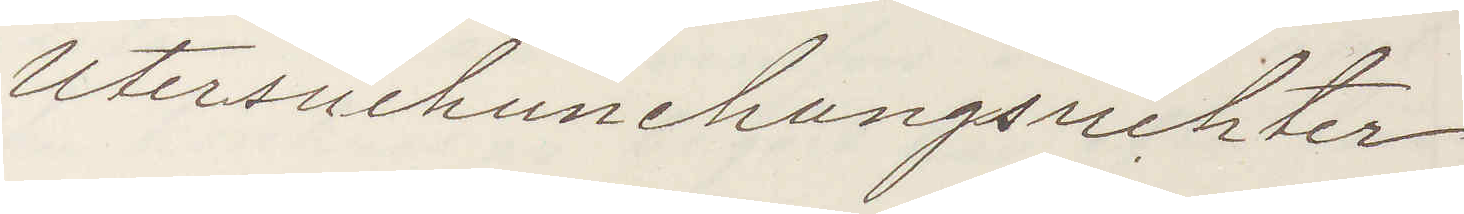Untersuchunchungsrichter
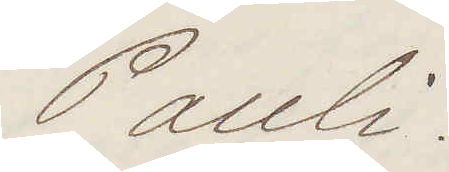Pauli.
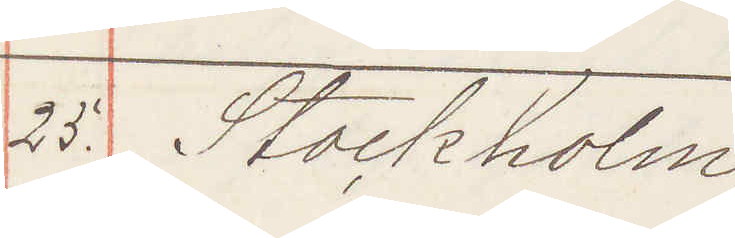25. Stockholm
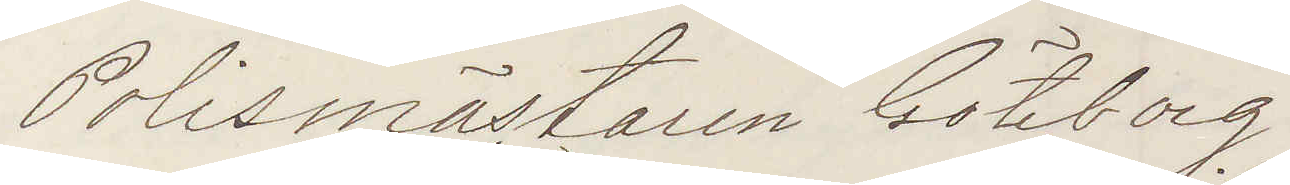Polismästaren Göteborg
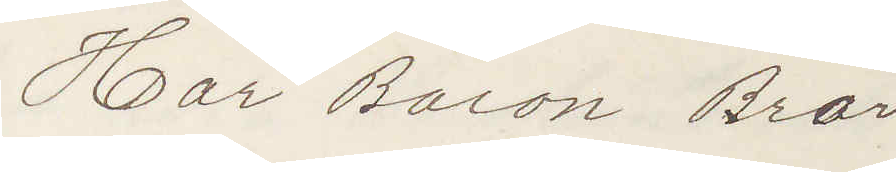Har Baron Bror
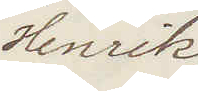Henrik
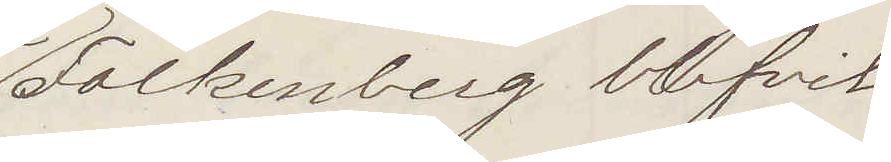Folkenberg blifvit
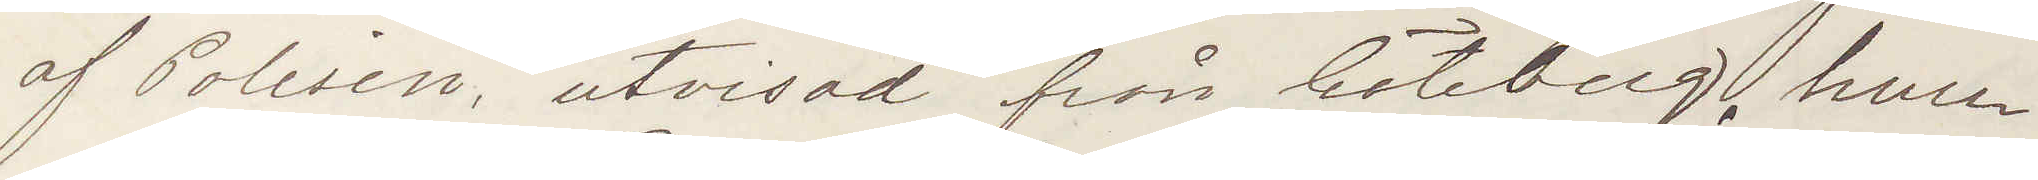af Polisen, utvisad från Göteborg. huru
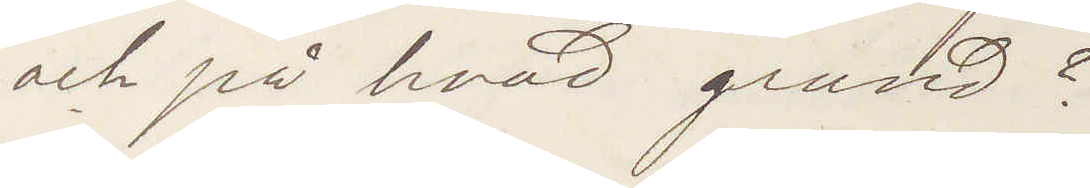och på hvad grund?
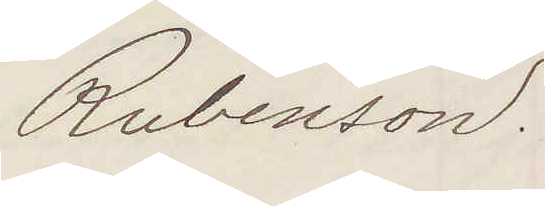Rubenson.
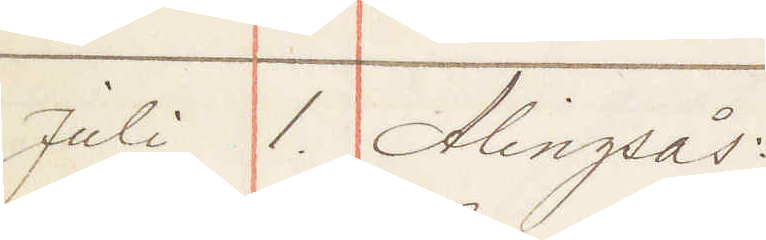Juli 1 Alingsås:
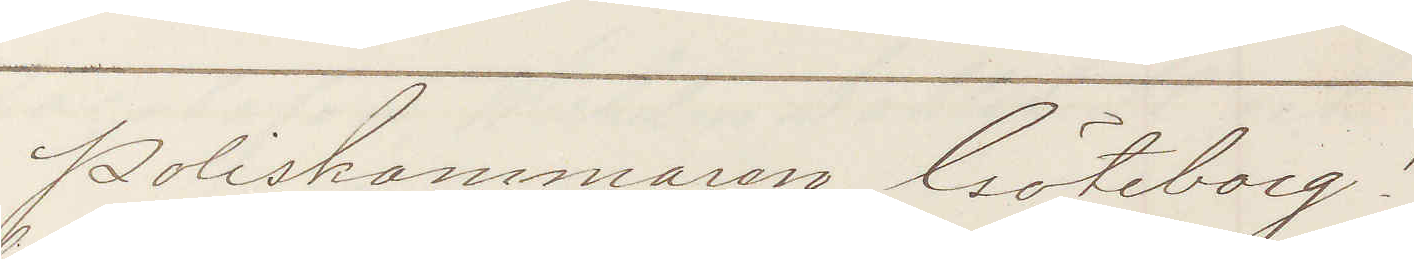Poliskammaren Göteborg!
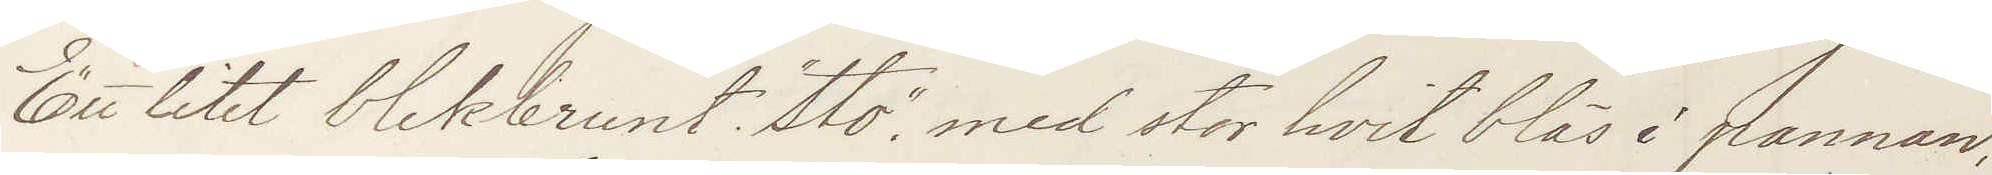Ett litet blekbrunt "sto" med stor hvit bläs i pannan,
